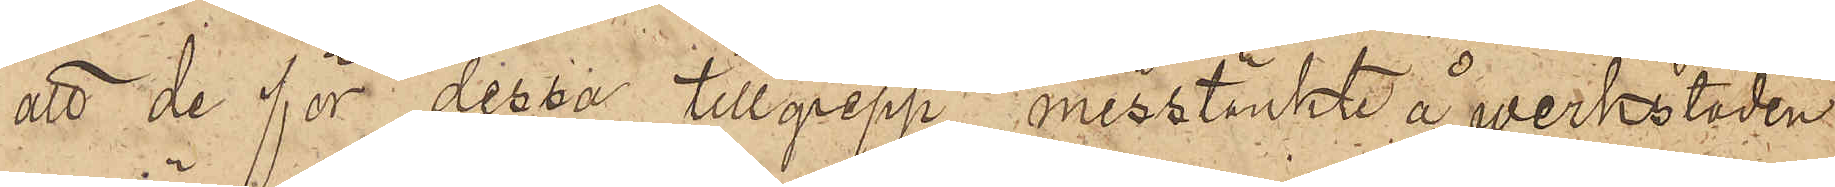att de för dessa tillgrepp misstänkte å verkstaden
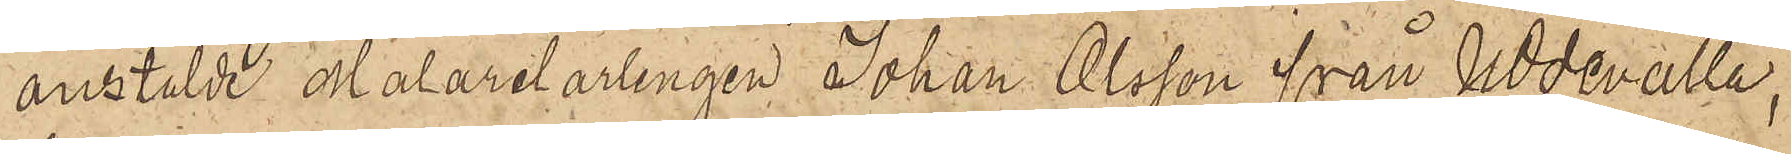anstälde Målarelärlingen Johan Olsson från Uddevalla,
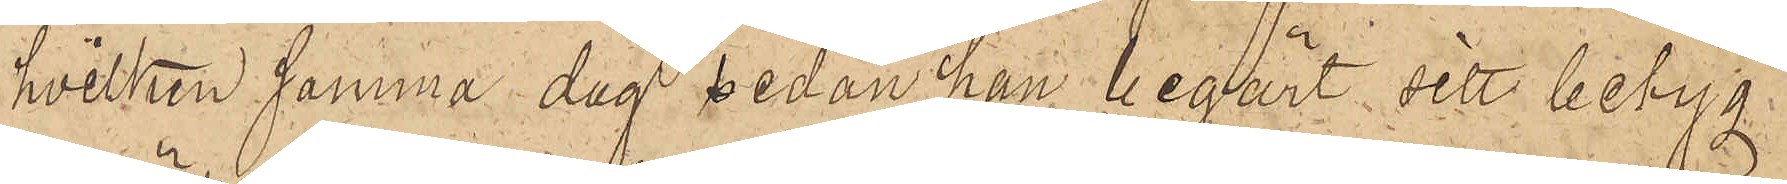hvilken samma dag sedan han begärt sitt betyg
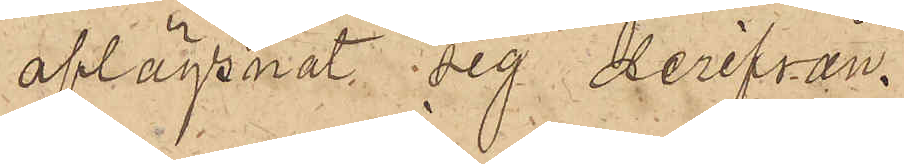aflägsnat sig derifrån.
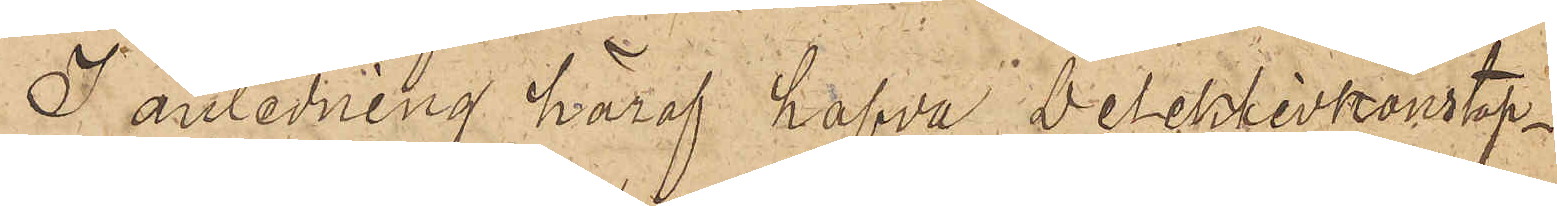I anledning häraf hafva Detektivkonstap¬
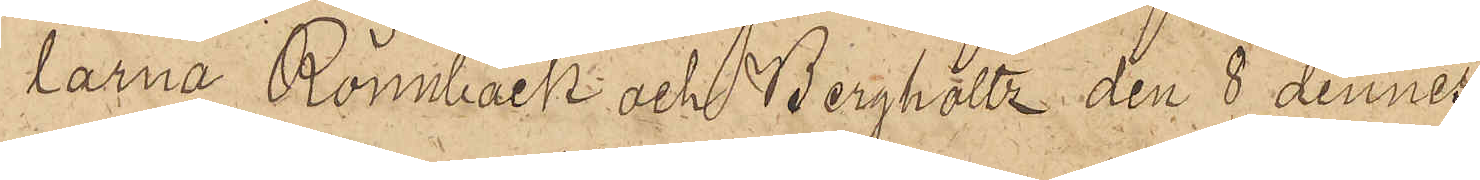larna Rönnbäck och Berghäll den 8 dennes
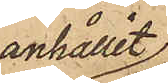anhållit
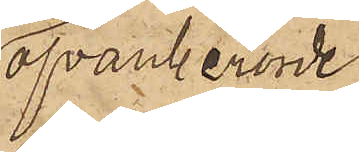ofvanberörde
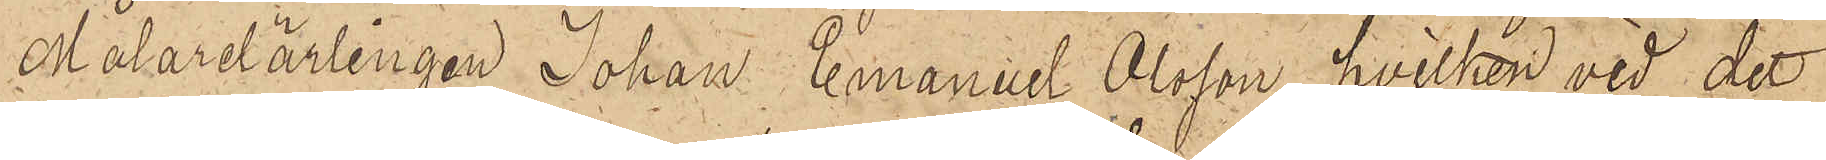Målarelärlingen Johan Emanuel Olsson, hvilken vid det
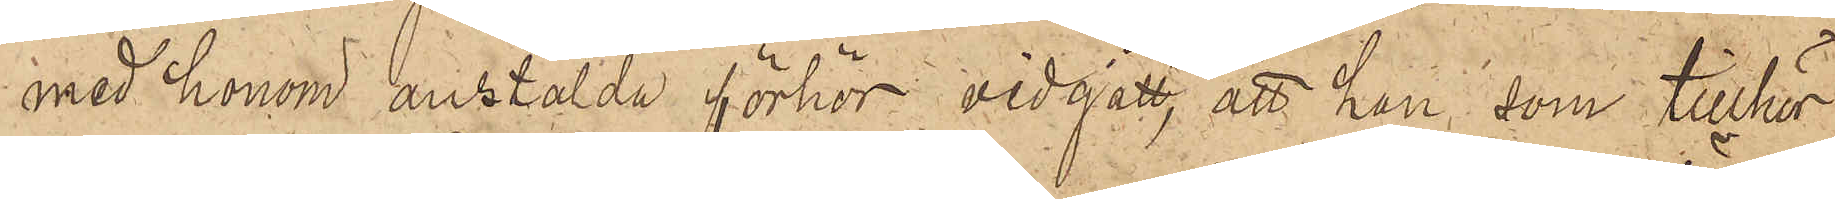med honom anstälda förhör vidgått, att han, som tillhör
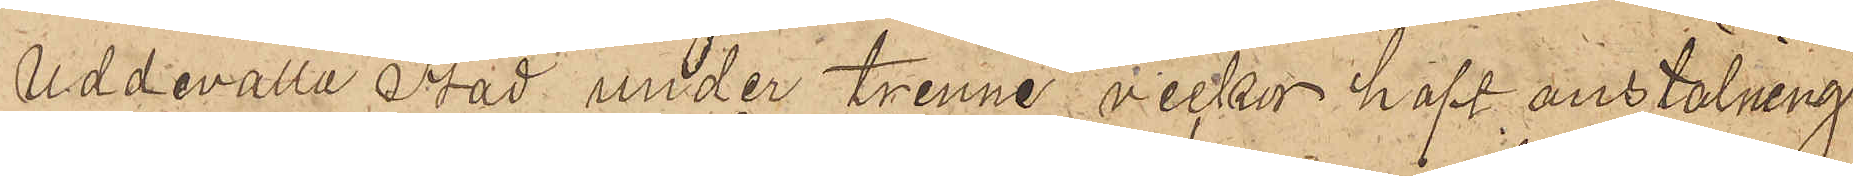Uddevalla Stad under tvenne veckor haft anstälning
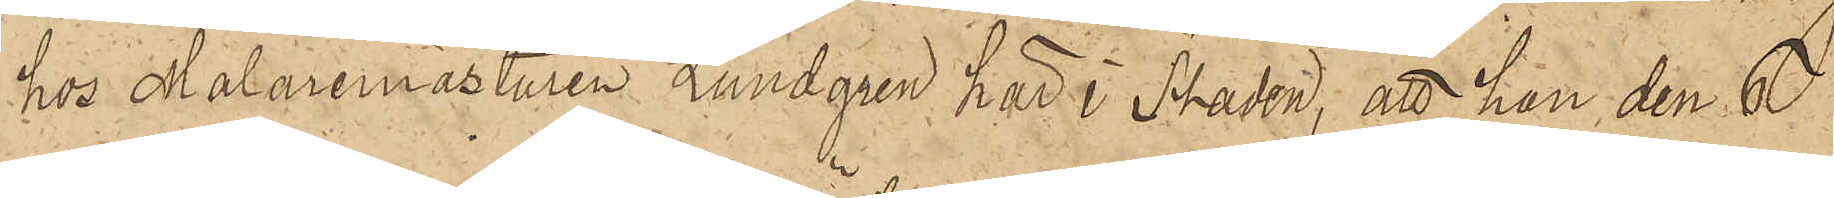hos Målaremästaren Lundgren här i Staden; att han den 6
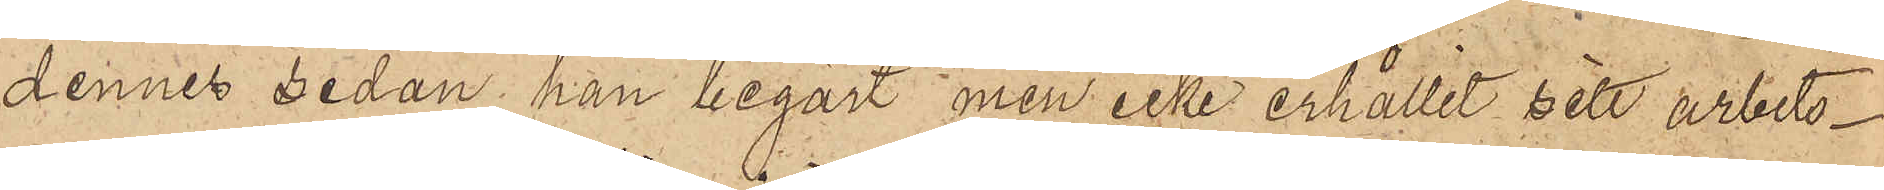dennes sedan han begärt men icke erhållit sitt arbets¬
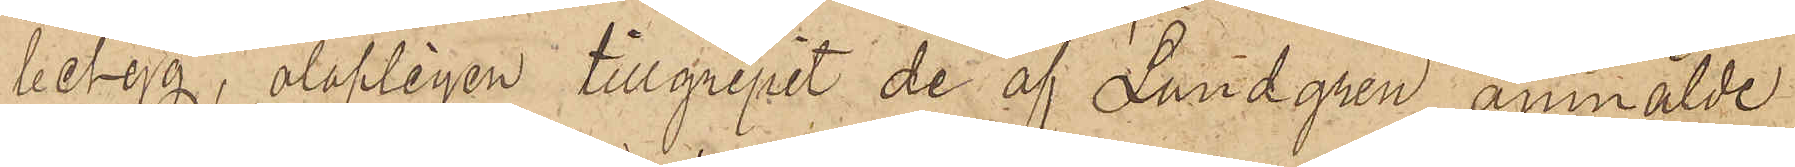betyg, olofligen tillgripit de af Lundgren anmälde
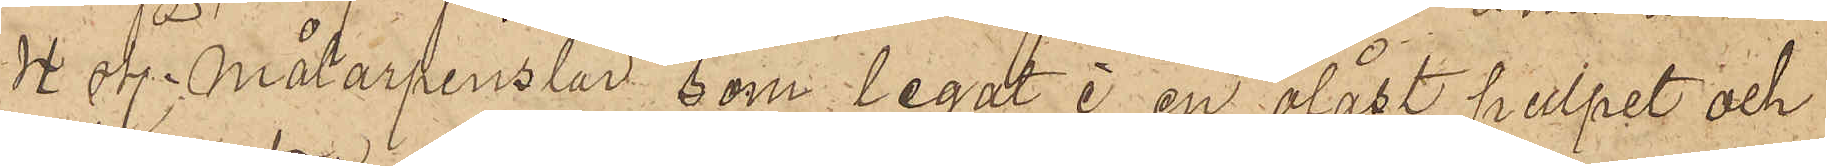4 sty. Målarpenslar som legat i en olåst pulpet och
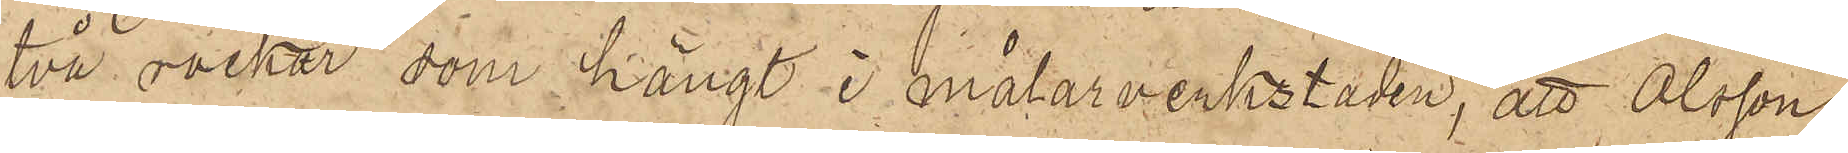två rockar som hängt i målarverkstaden; att Olsson
